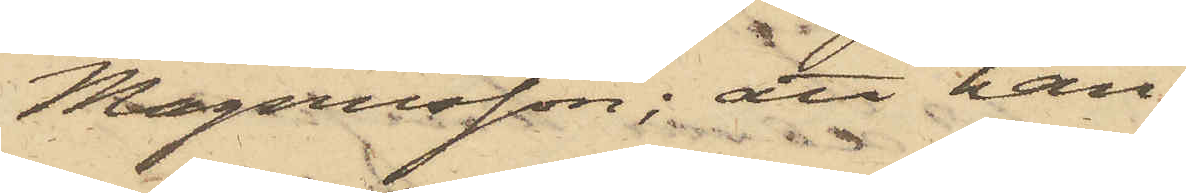Magnusson; att han
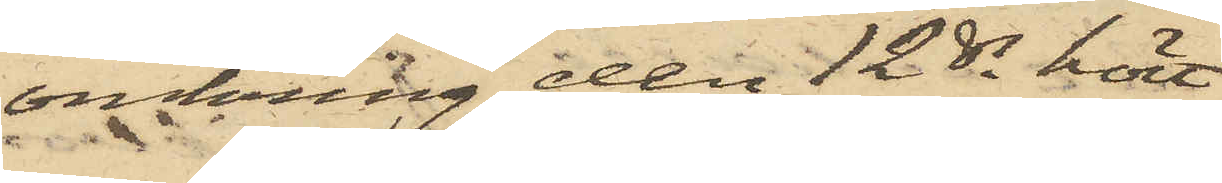omkring den 12 ds hört
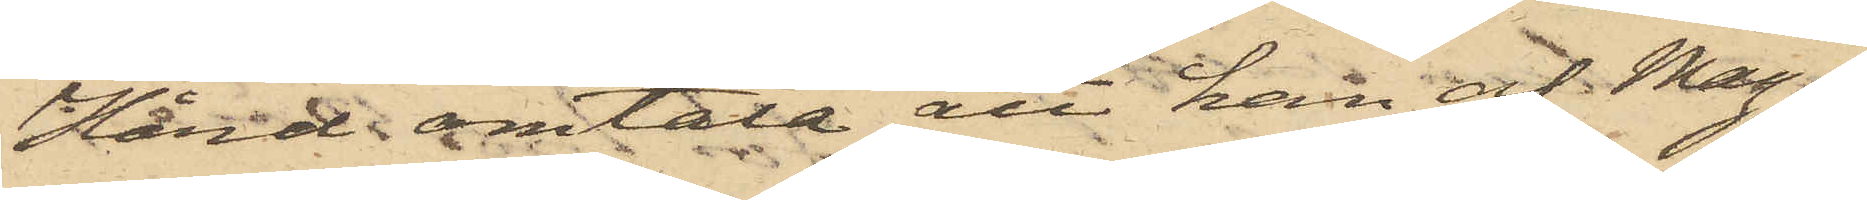Hård omtala att han af Mag¬
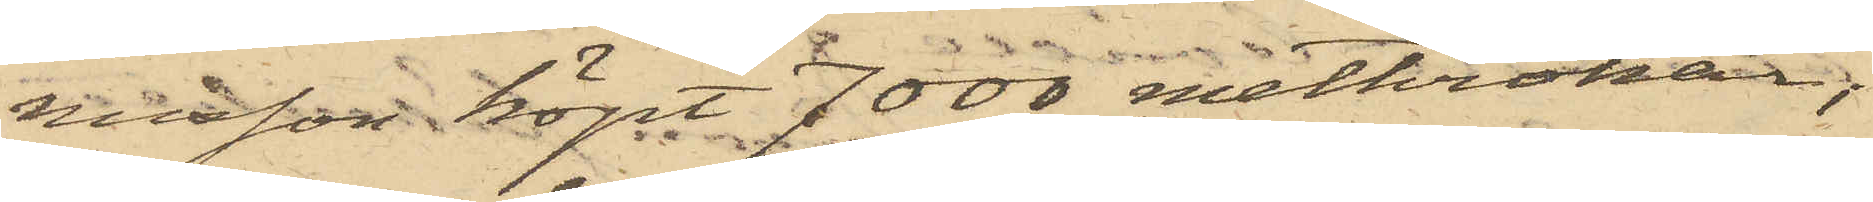nusson köpt 7000 metkrokar;
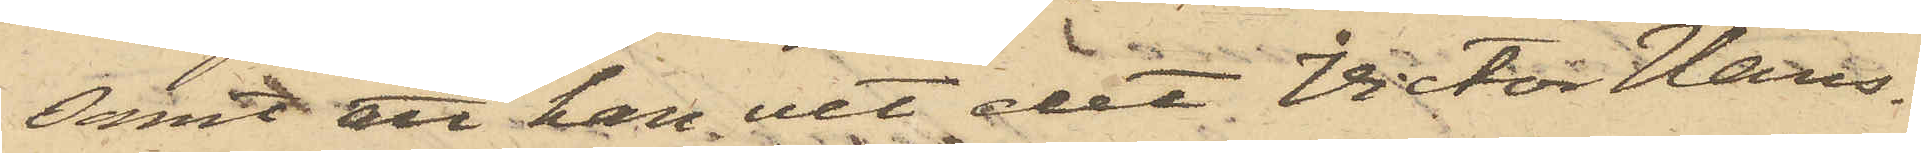samt att han vet det Victor Hans¬
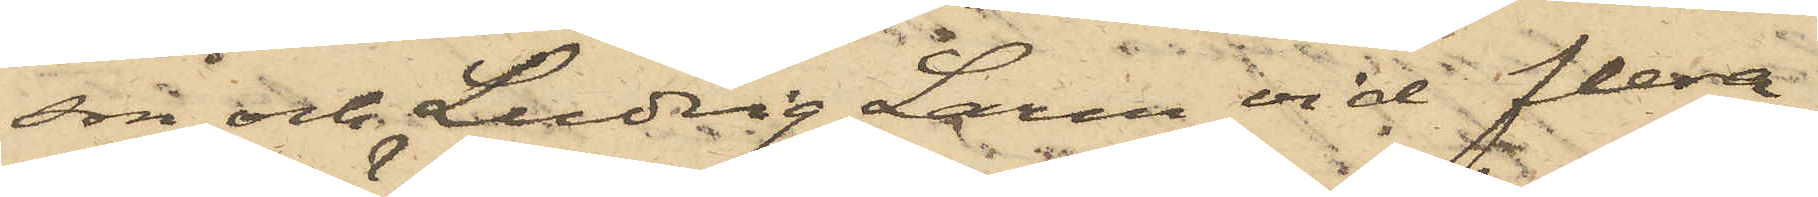son och Ludvig Larm vid flera
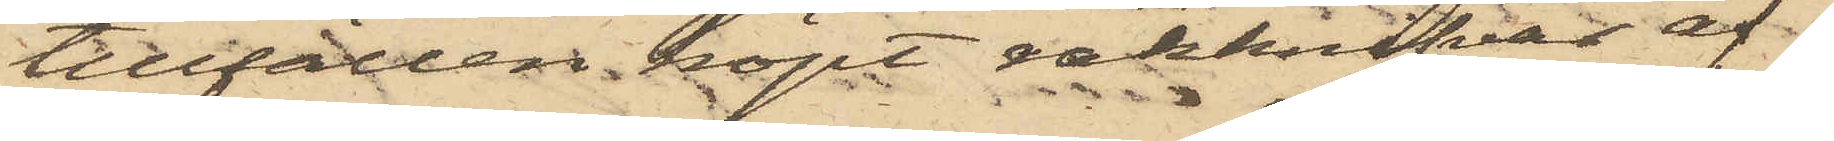tillfällen köpt rakknifvar af
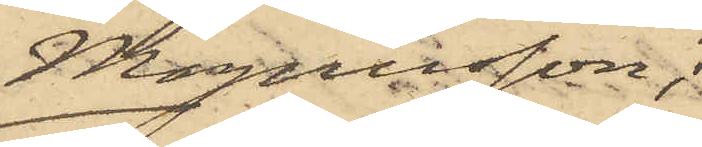Magnusson;
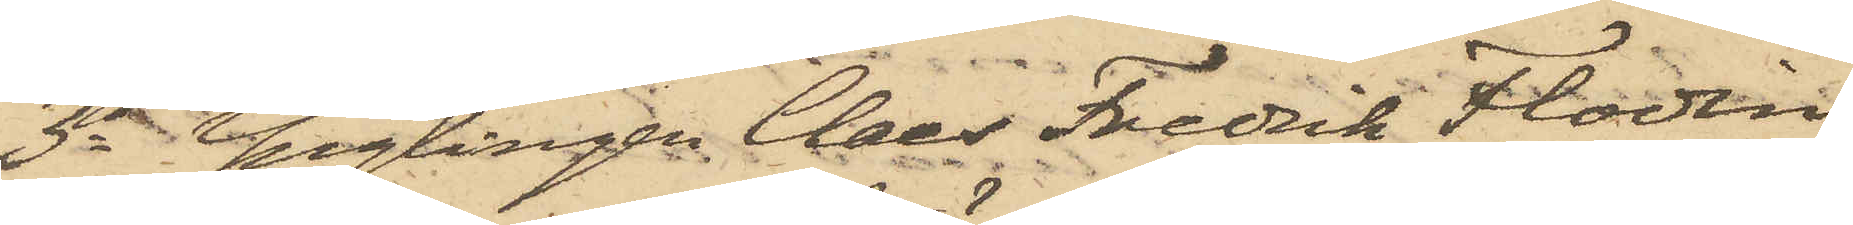3o Ynglingen Claes Fredrik Flodin,
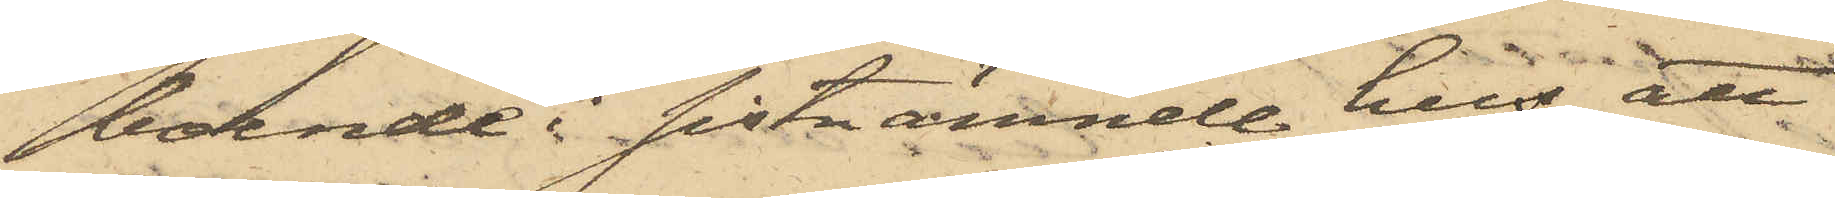boende i sistnämnde hus, att
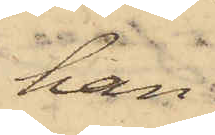han
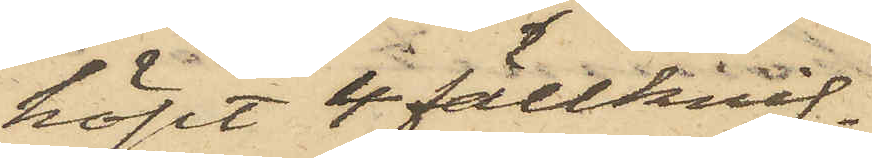köpt 4 fällknif¬
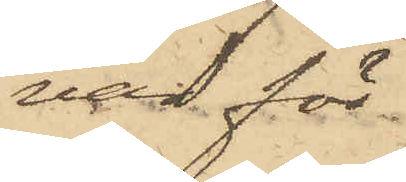var för
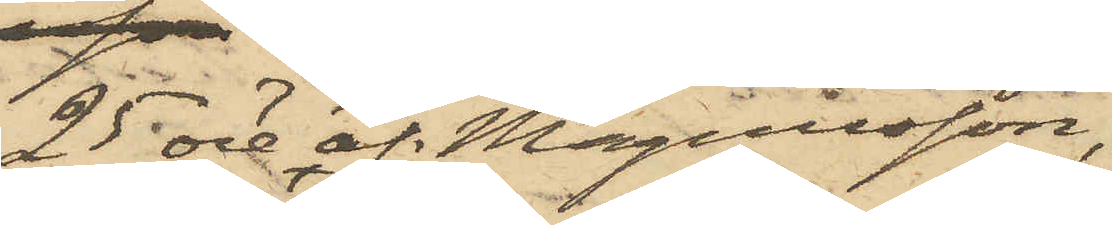25 öre af Magnusson,
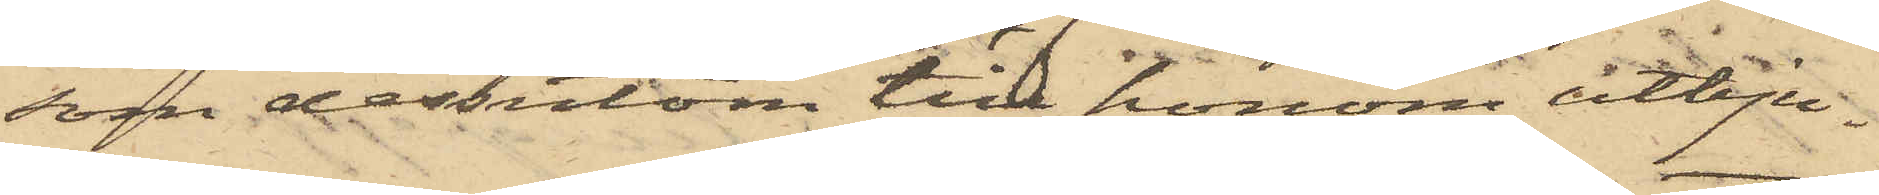som dessutom till honom utbju¬
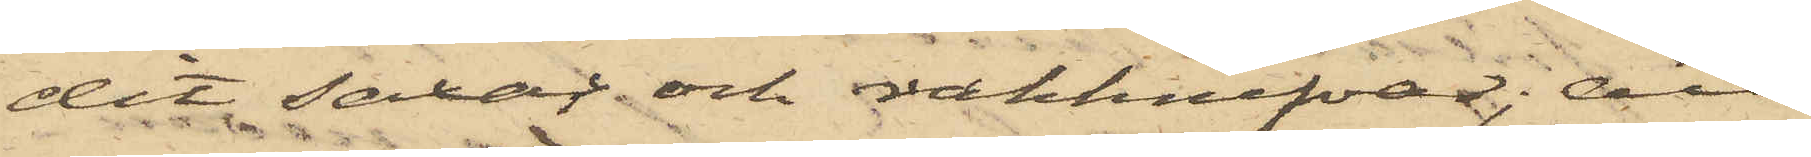dit saxar och rakknifvar; att
